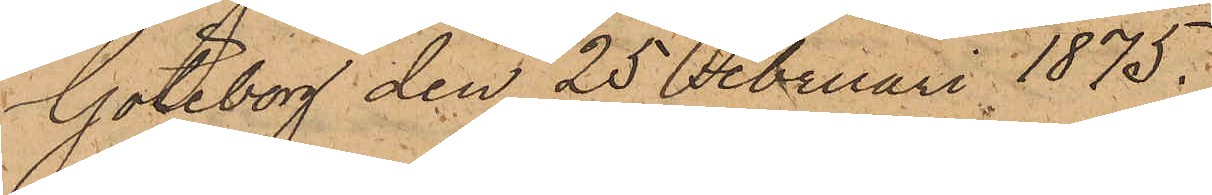Göteborg den 25 Februari 1875.
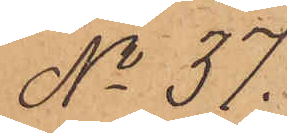No 37.
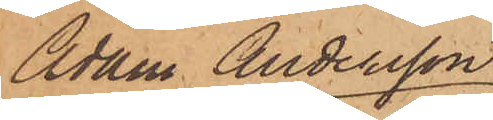Adam Andersson
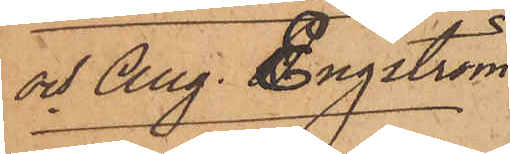och Aug. Engström
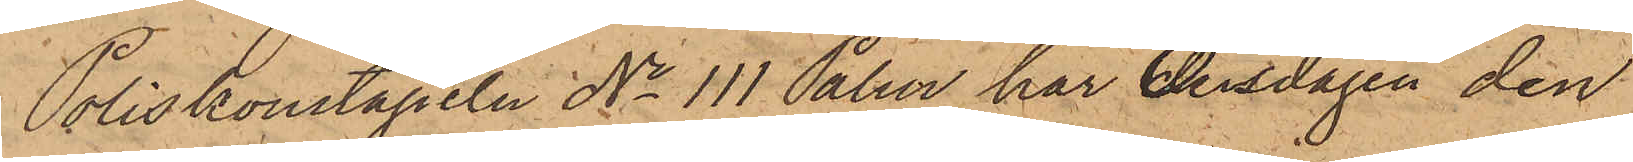Poliskonstapeln No 111 Palm har Onsdagen den
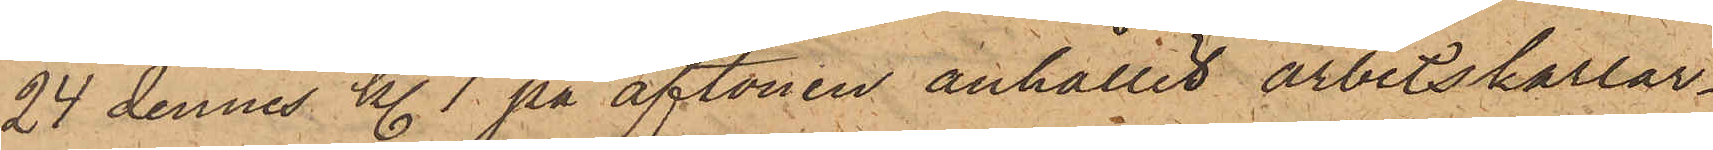24 dennes kl. 7 på aftonen anhållit arbetskarlar¬
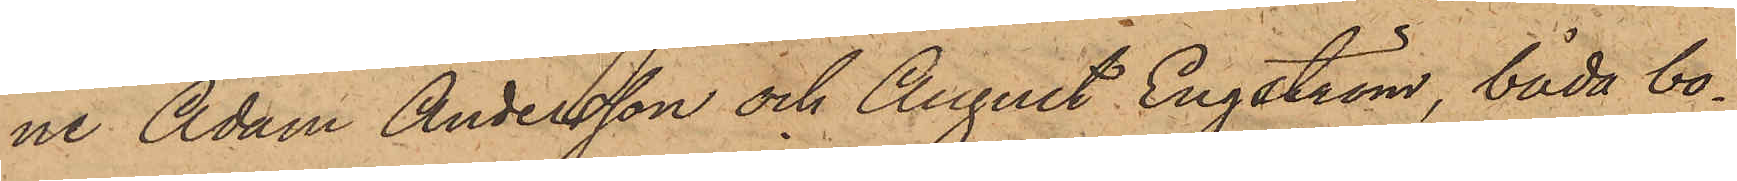ne Adam Andersson och August Engström, båda bo¬
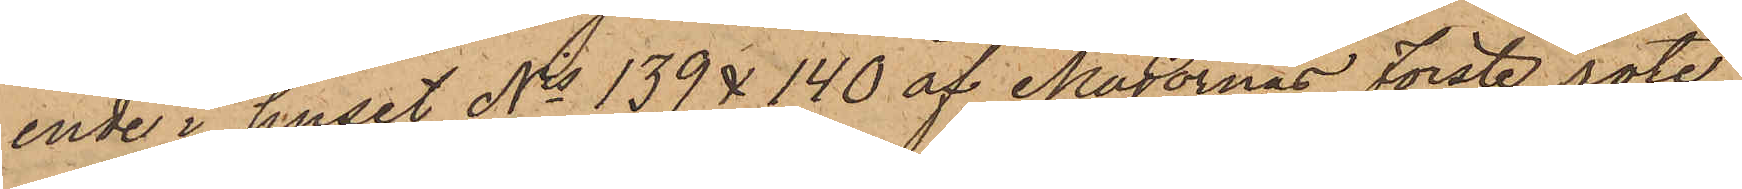ende i huset Nis 139 & 140 af Majornas Förste rote
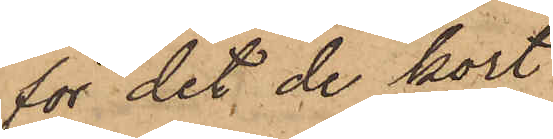för det de kort
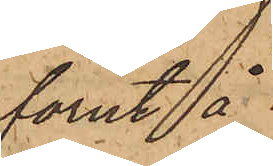förut å
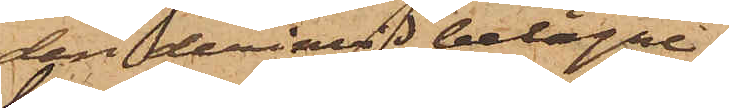den derinvid belägne
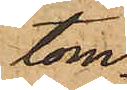tom¬
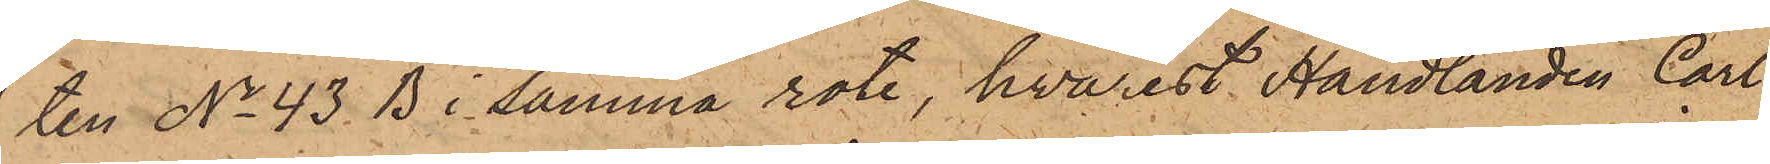ten No 43 B i samma rote, hvarest Handlanden Carl
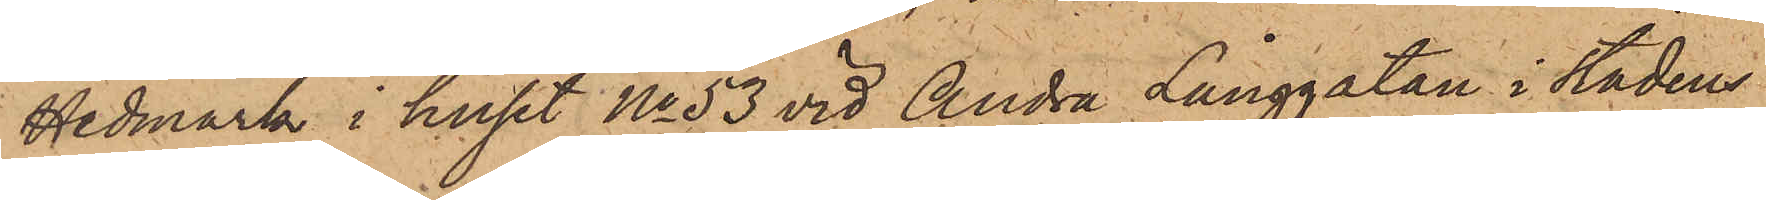Hedmark i huset No 53 vid Andra Långgatan i Stadens
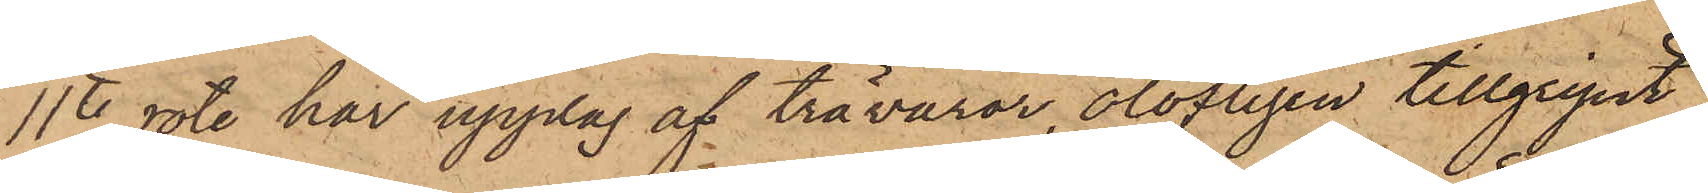11te rote har upplag af trävaror, olofligen tillgripit
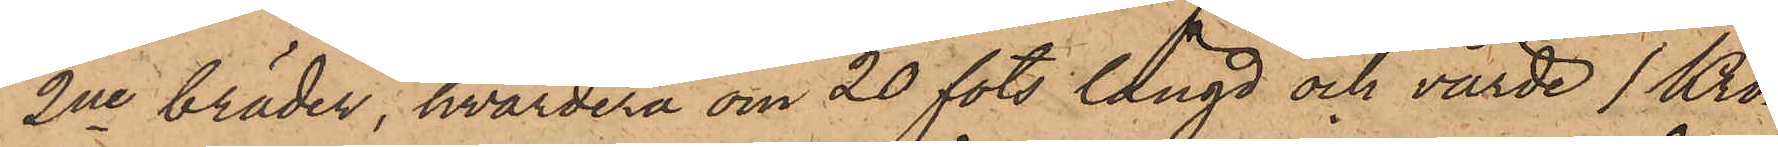2ne bräder, hvardera om 20 fots längd och värde 1 Kro¬
